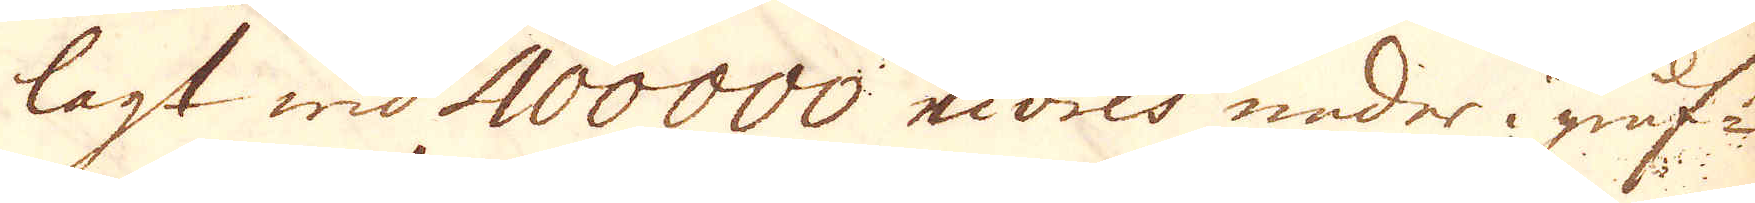lagt wid 400000 Livres neder i gruf-
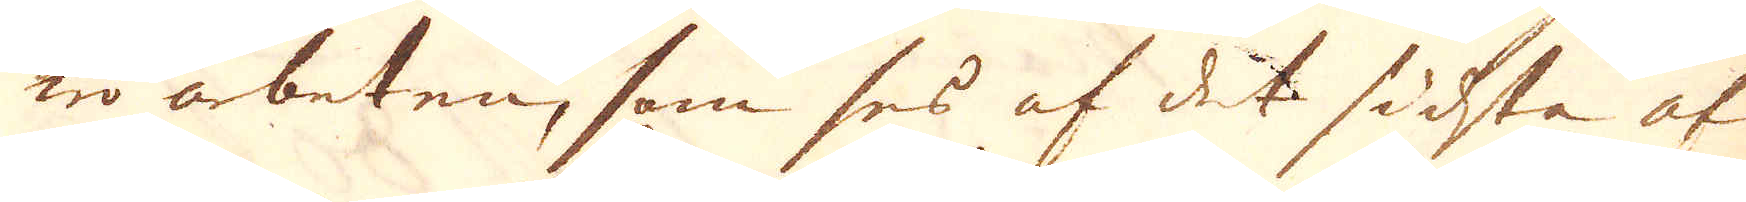wo arbeten, som ses af det sidsta af
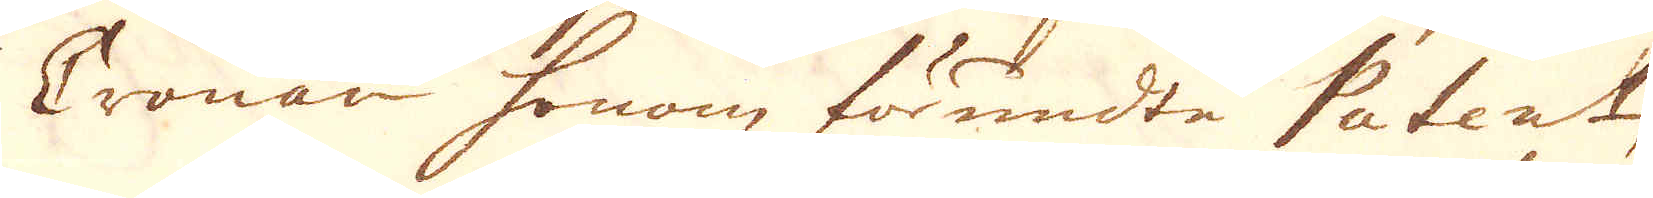Cronan honom förundte Patent,
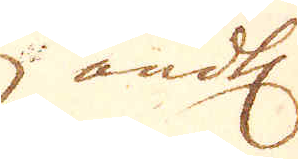ändtl.
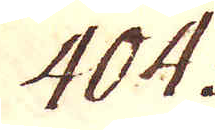404.
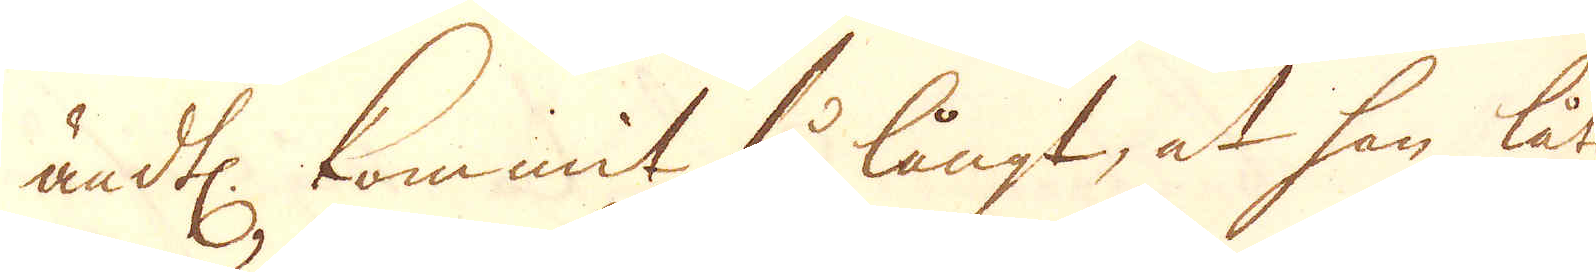ändtl. kommit så långt, at han låtit
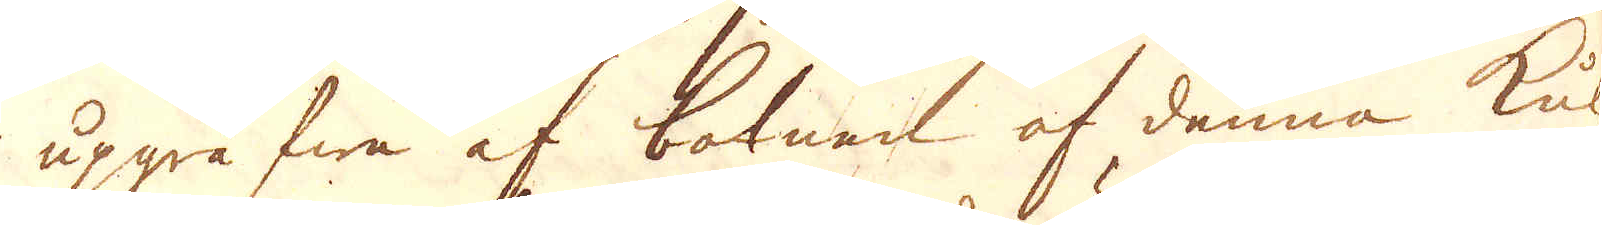upgräfwa af botnen af denna kula
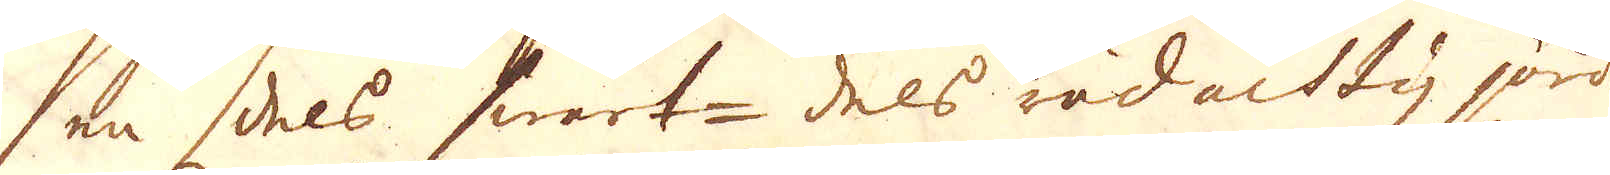en dels swart- dels rödachtig jord
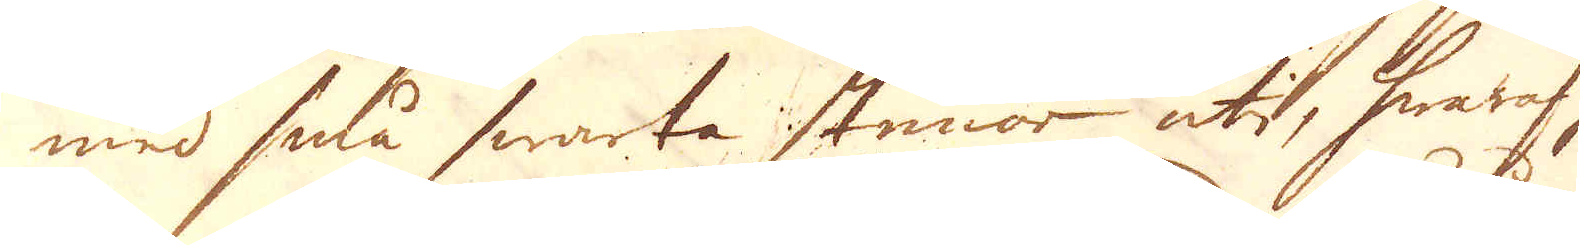med små swarta stenor uti, hwaraf han
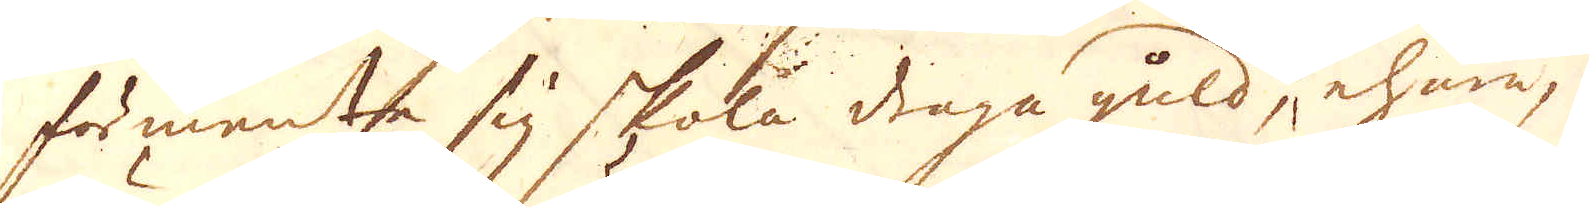förmente sig skola draga guld, ehuru at
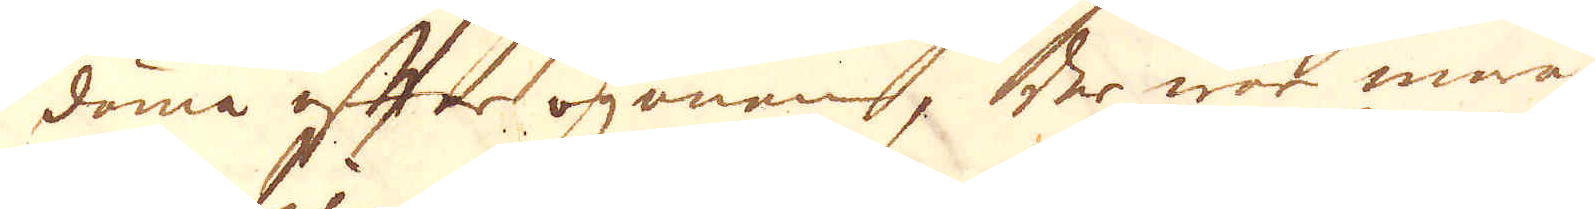döma eftrer ögonen, der war inne
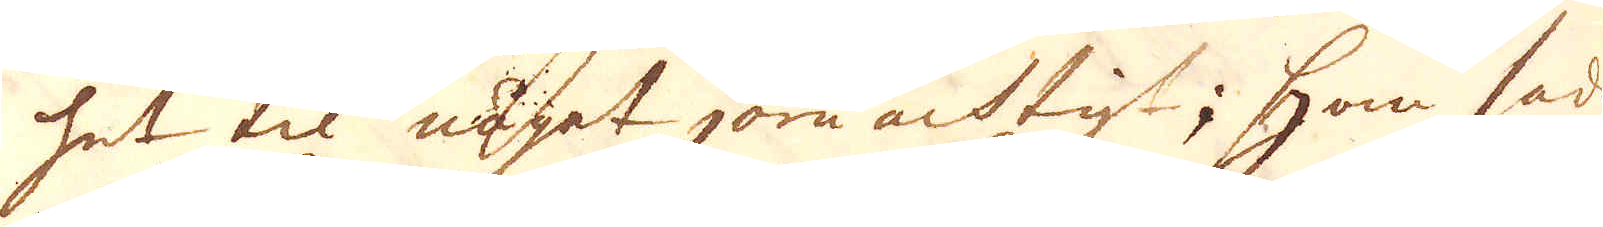het til något järn achtigt; han sade
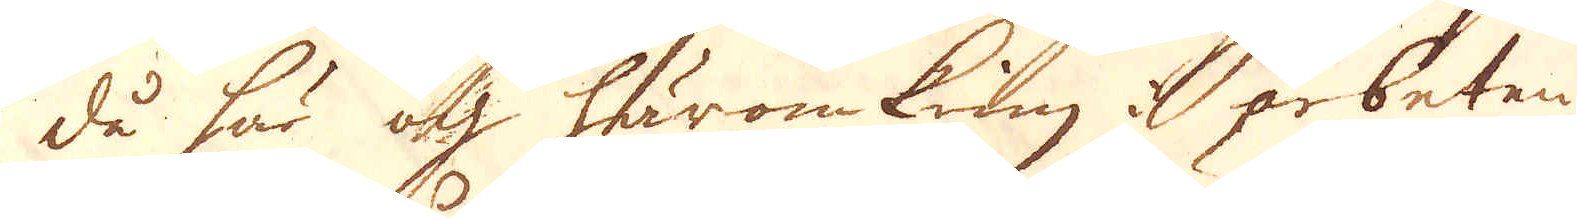då här och häromkring arbeten och
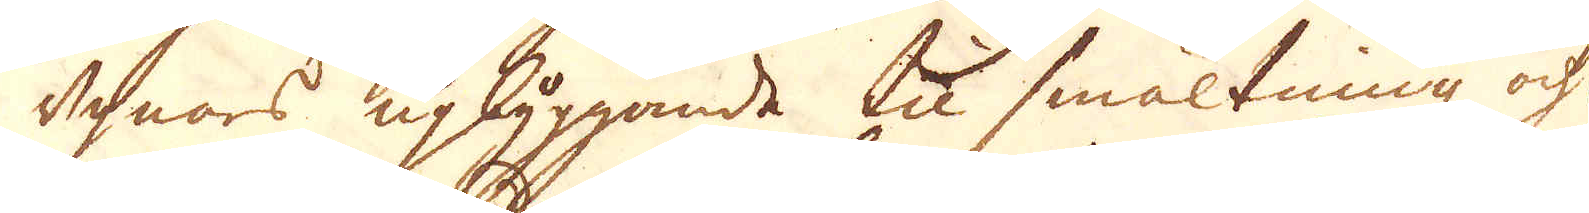ugnars upbyggande til smältning och
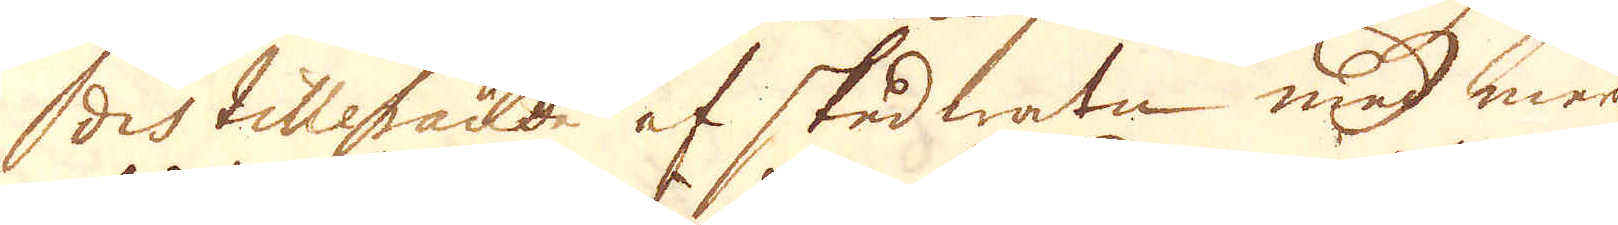distillerande af skedwatn med mera
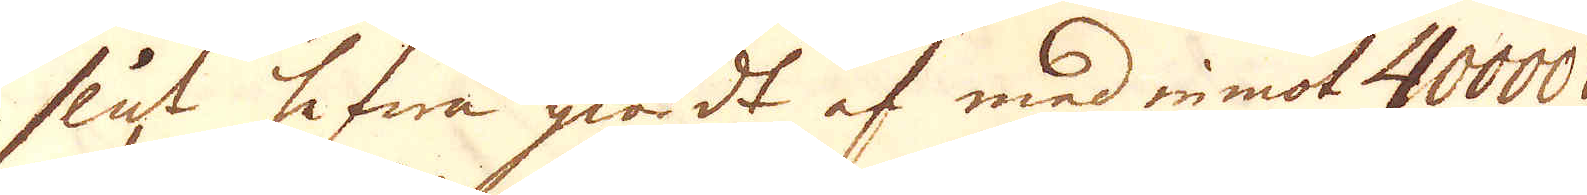slut hafwa giordt af med in mot 40000
